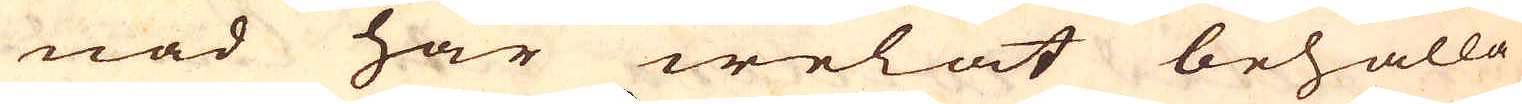nad har welat behålla
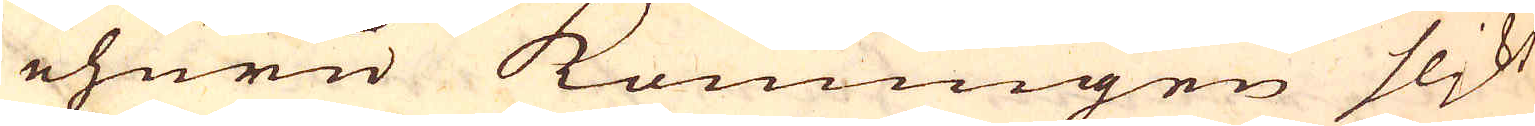ehuru konungen flikt
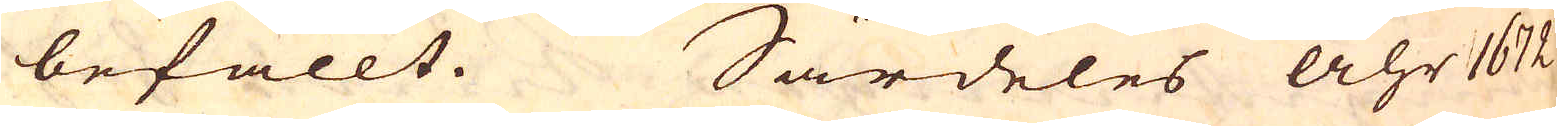befallt. Särdeles Åhr 1672
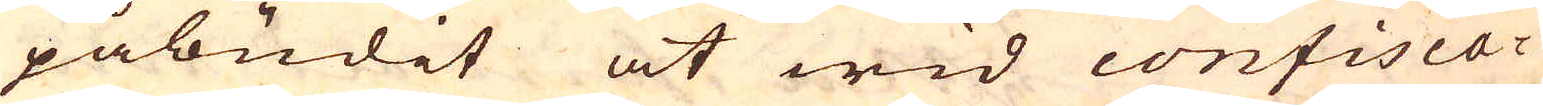påbudit at wid confisca-
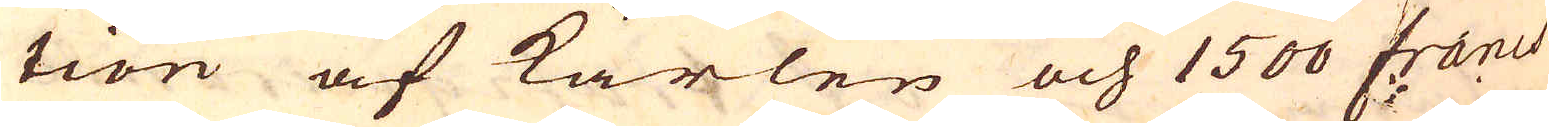tion af kärlen och 1500 Francs
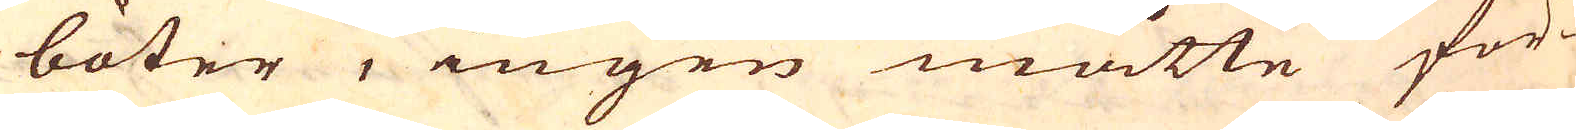böter, ingen måtte för-
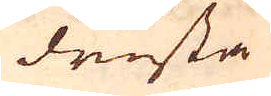drista
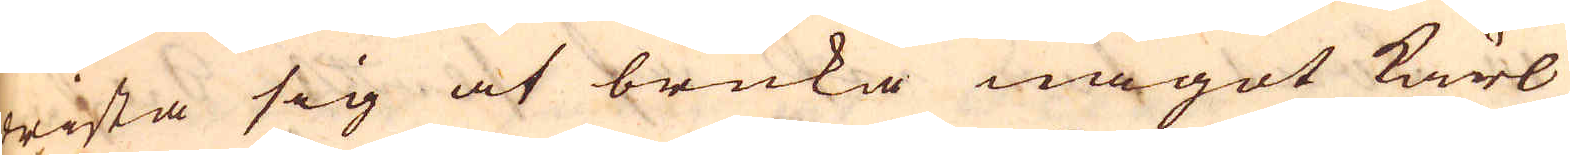drista sig at bruka något kärl
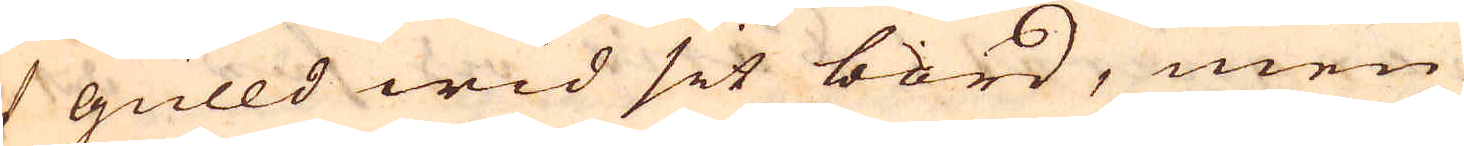af gulld wid sit bord, men
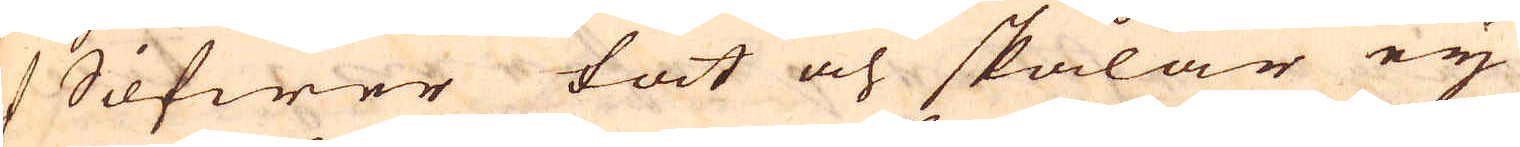af Silfwer fat och skålar eij
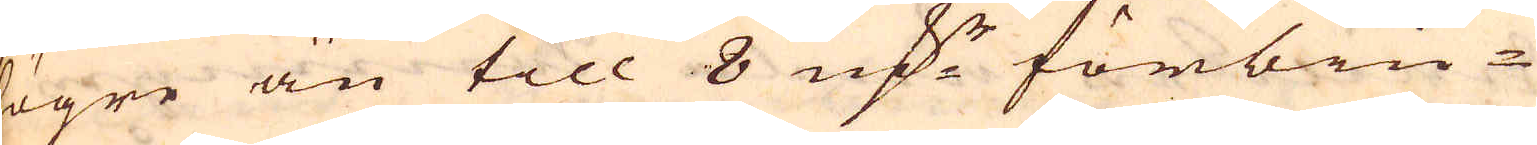högre än till 8 marker förbiu-
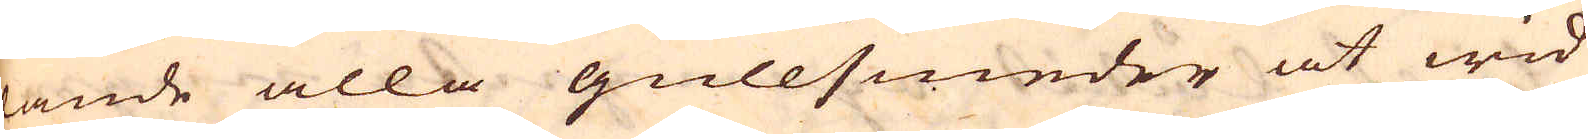dande alla gullsmeder at wid
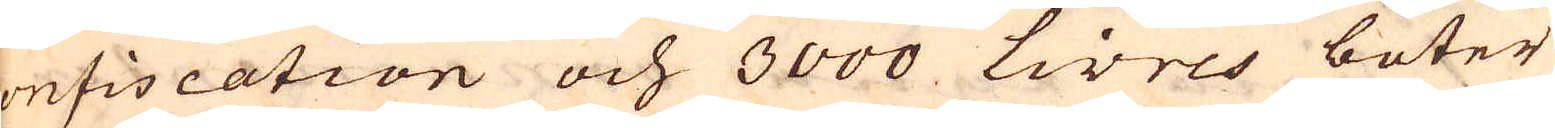confiscation och 3000 Livres böter
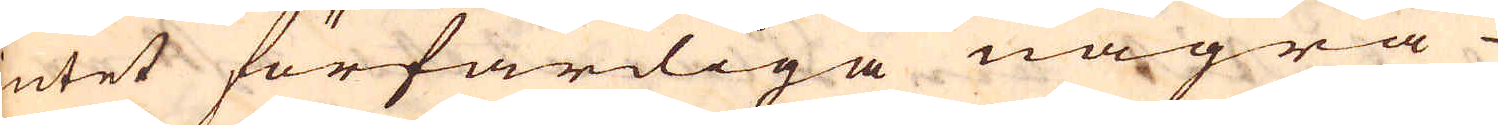intet förfärdiga några
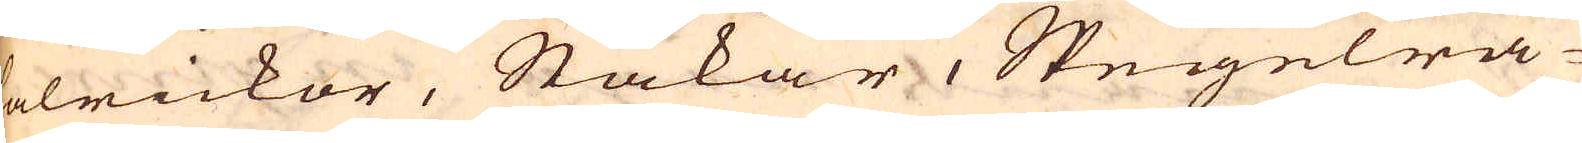talrickor, Stakar, Spegelra-
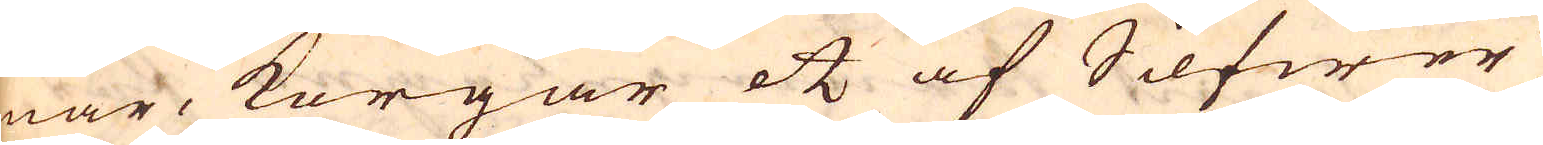mar, korgar etc af Silfwer;
